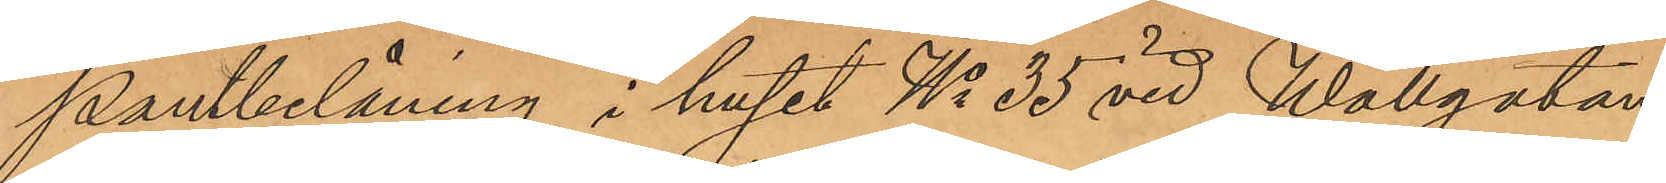Pantbelåning i huset No 35 vid Wallgatan,
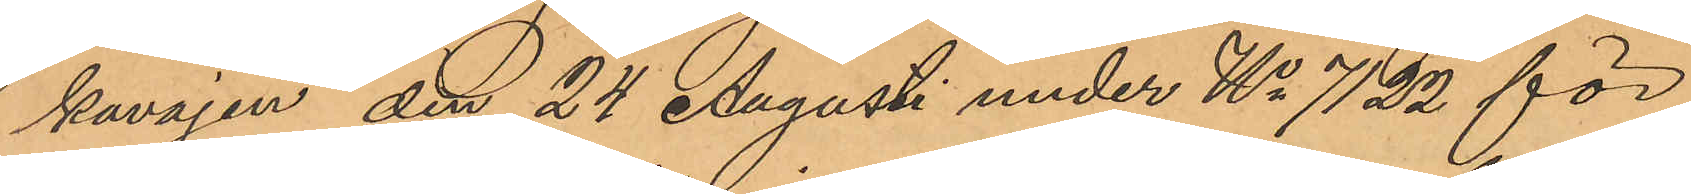kavajen den 24 Augusti under No 7122 för
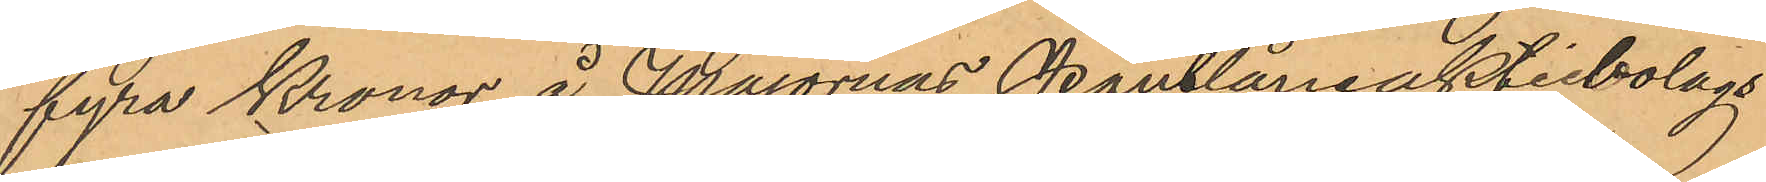fyra Kronor å Majornas Pantlåneaktiebolags
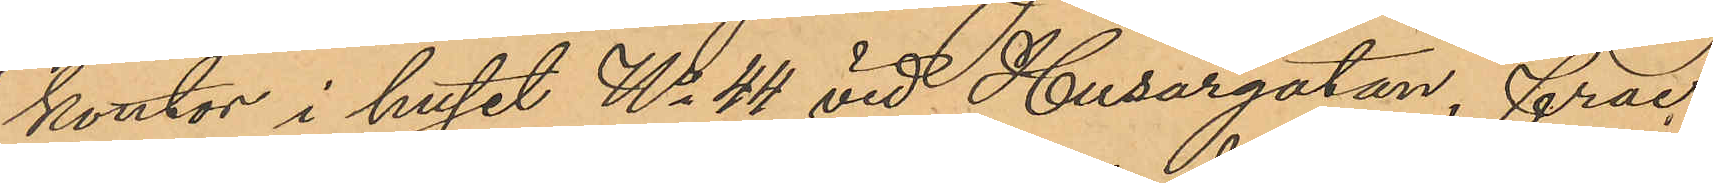kontor i huset No 44 vid Husargatan, frac¬
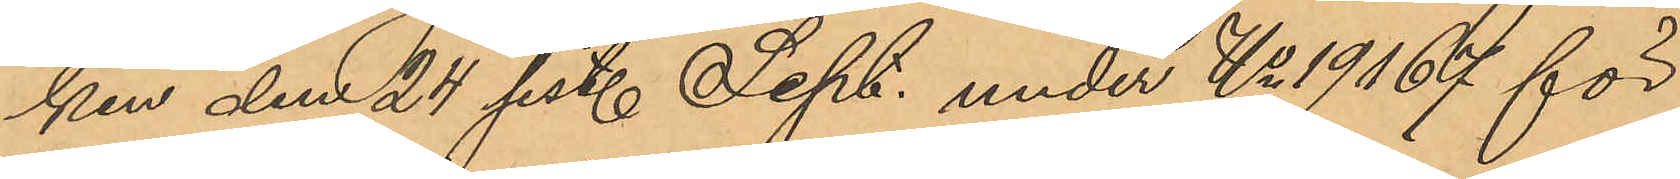ken den 24 sist. Sept. under No 19167 för
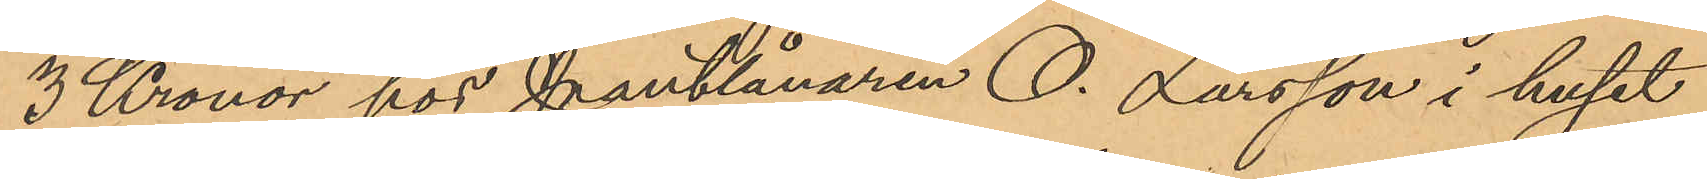3 Kronor hos Pantlånaren O. Larsson i huset
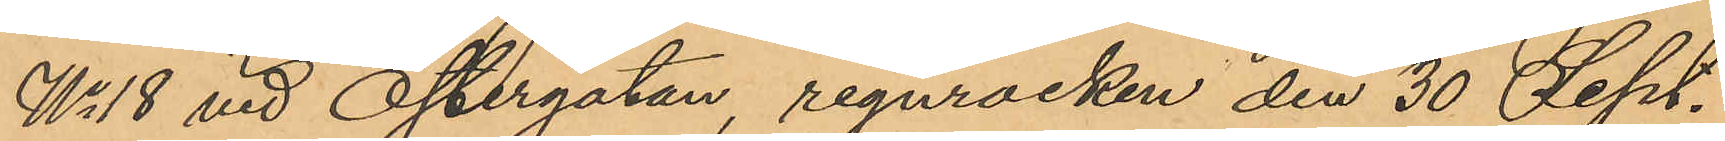No 18 vid Östergatan, regnrocken den 30 Sept.
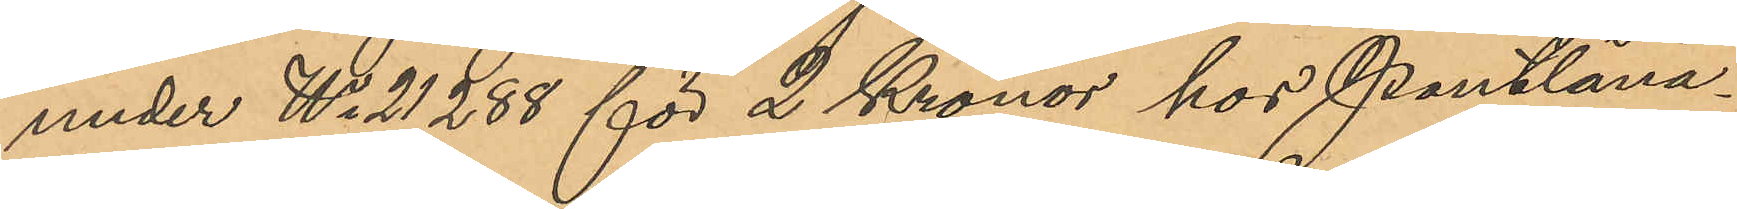under No 21288 för 2 Kronor hos Pantlåna¬
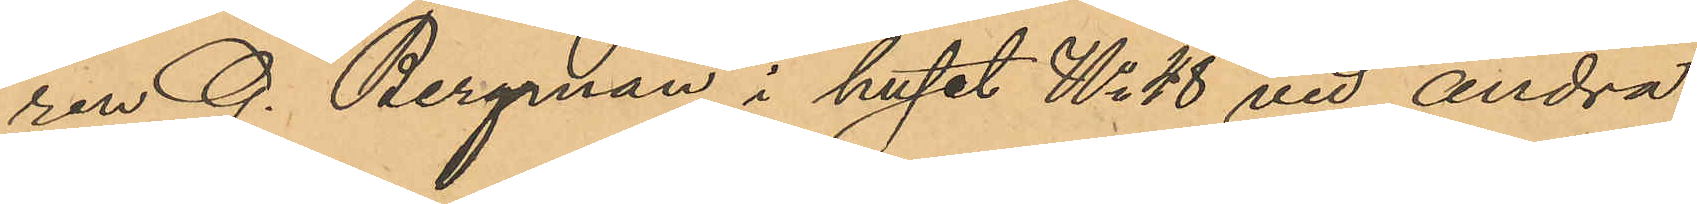ren G. Bergman i huset No 48 vid andra
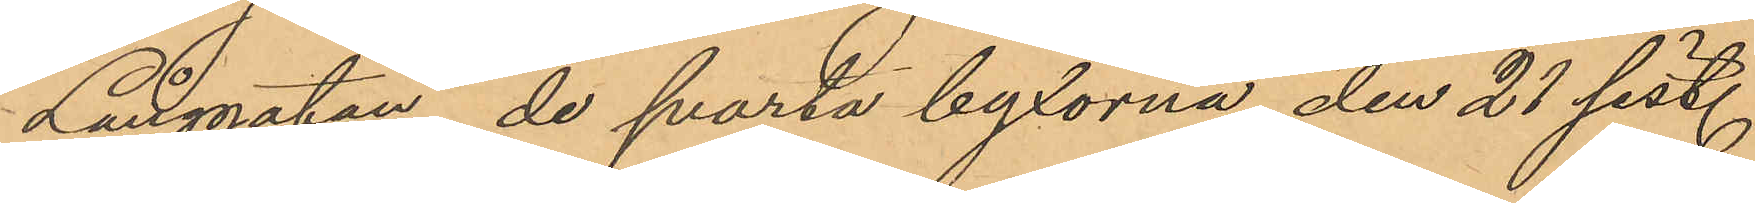Långgatan, de svarta byxorna den 21 sist.
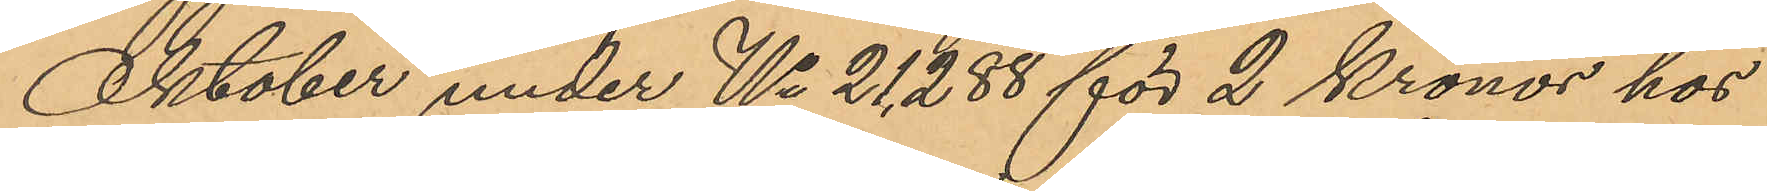Oktober under No 21,288 för 2 Kronor hos
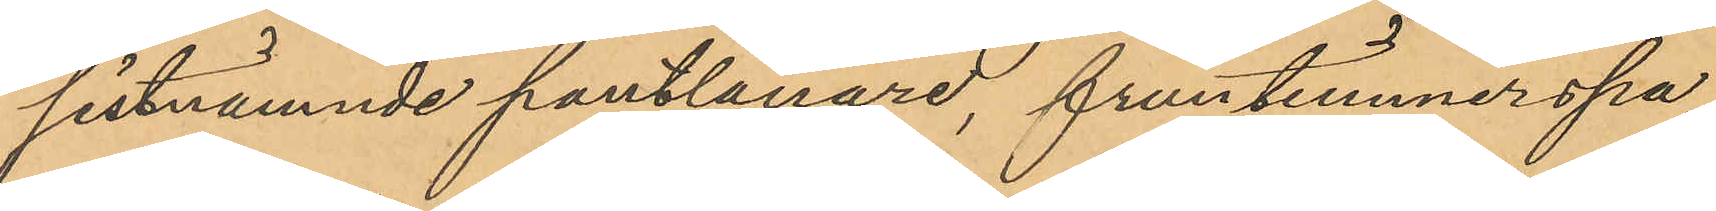sistnämnde pantlånare, fruntimmerspa¬
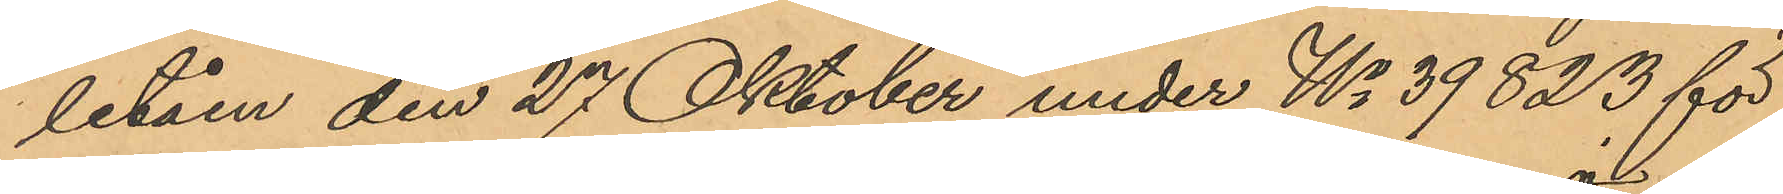letåen den 27 Oktober under No 39823 för
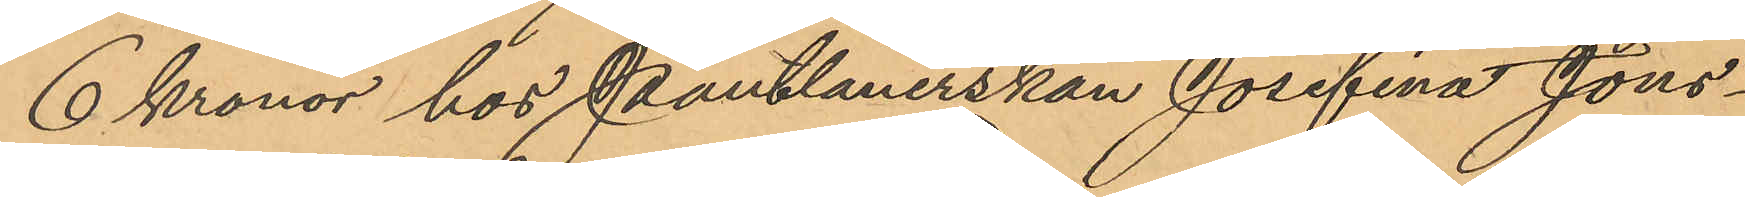6 Kronor hos Pantlånerskan Josefina Jöns¬
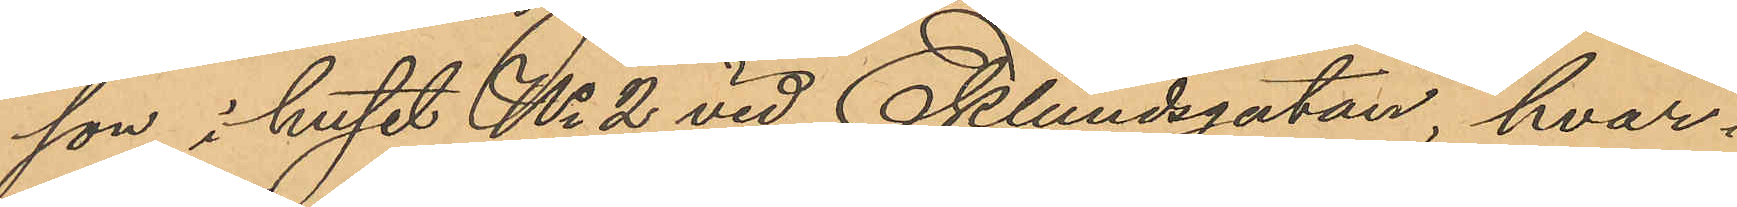son i huset No 2 vid Eklundsgatan, hvar¬
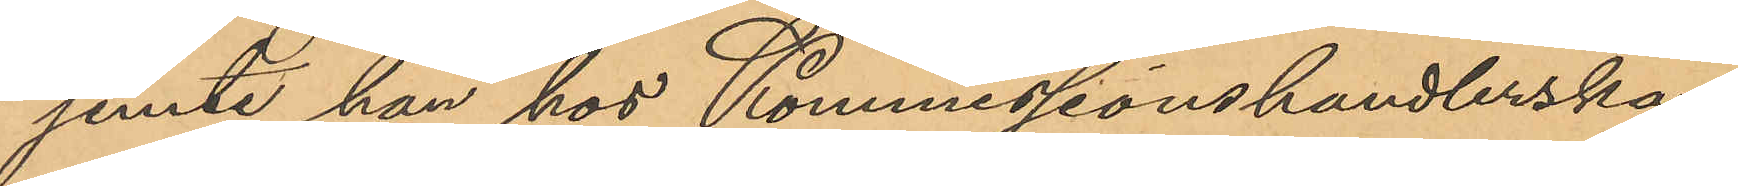jemte han hos Kommissionshandlerskan
